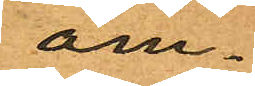om¬
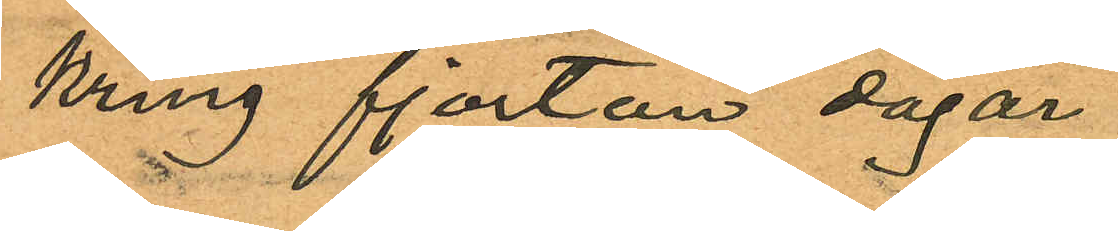kring fjorton dagar
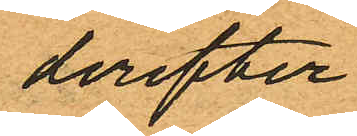derefter
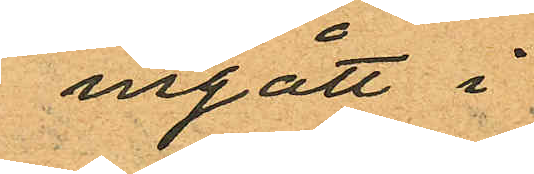ingått i
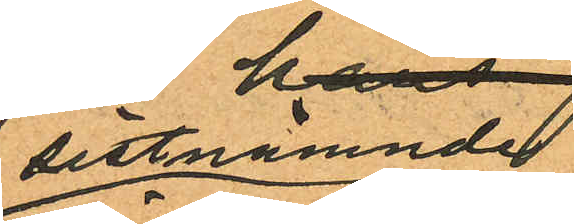sistnämnde
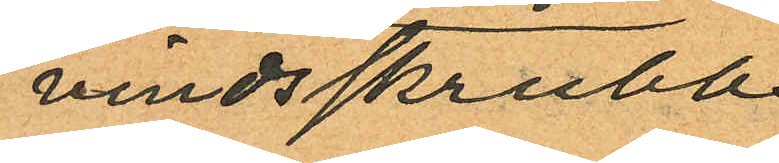vindsskrubb
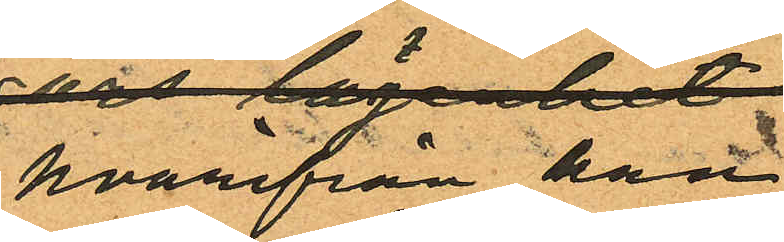hvarifrån han
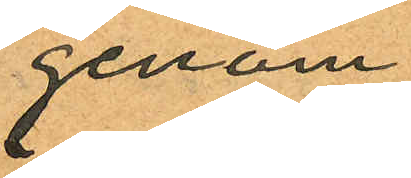genom
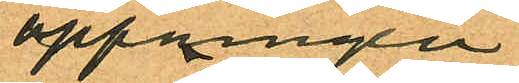öppningen
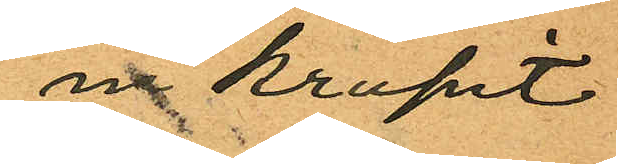inkrupit
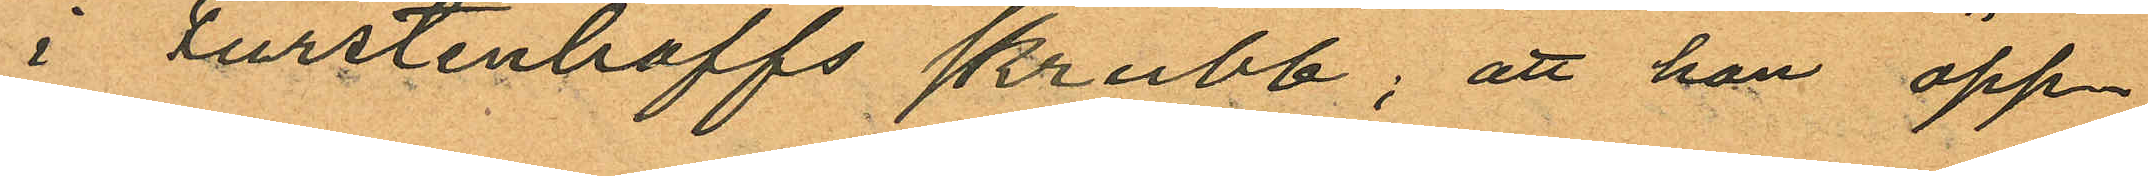i Fürstenhoffs skrubb; att han öpp¬
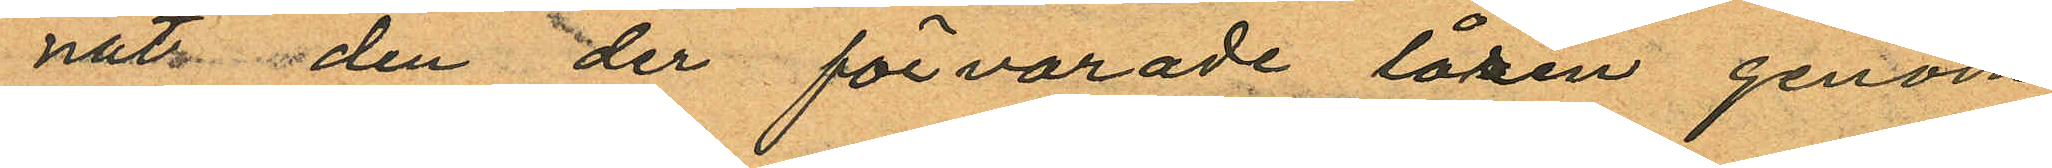nat den der förvarade låren genom
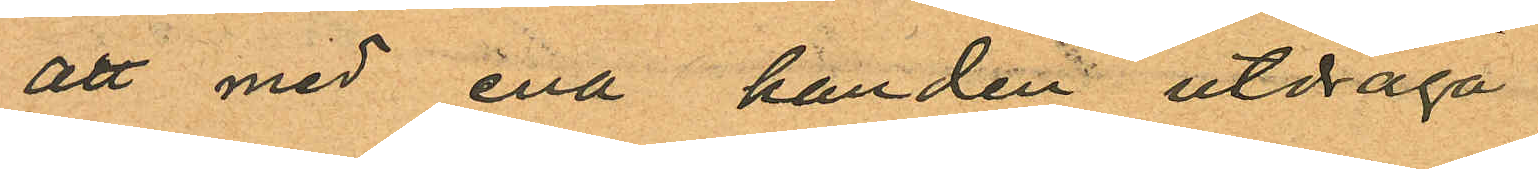att med ena handen utdraga
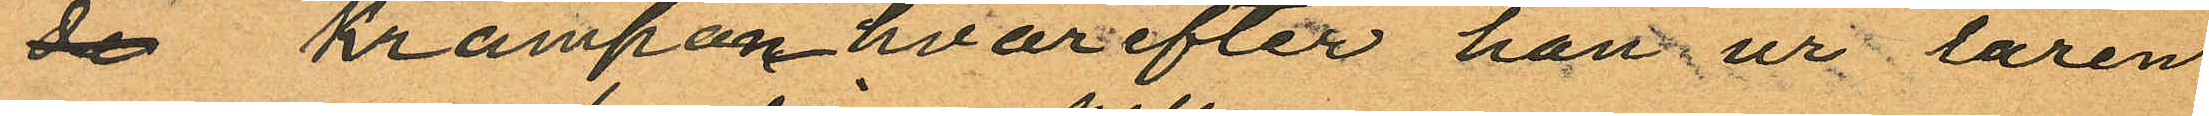de krampan hvarefter han ur låren
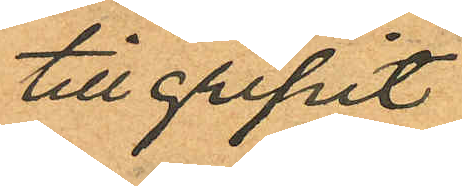tillgripit
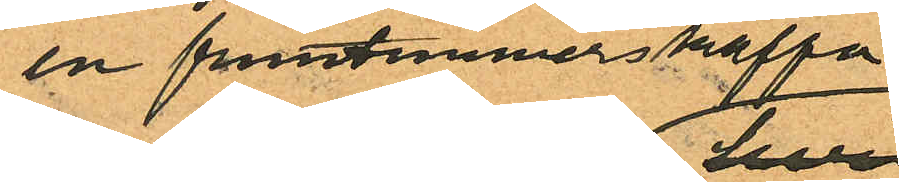en fruntimmerskappa
